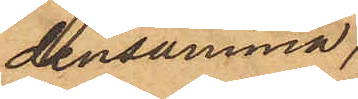densamma,
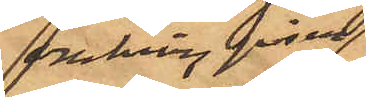omkring påsen;
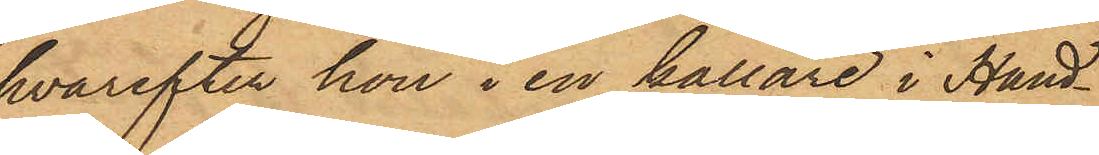hvarefter hon i en källare i Hand¬
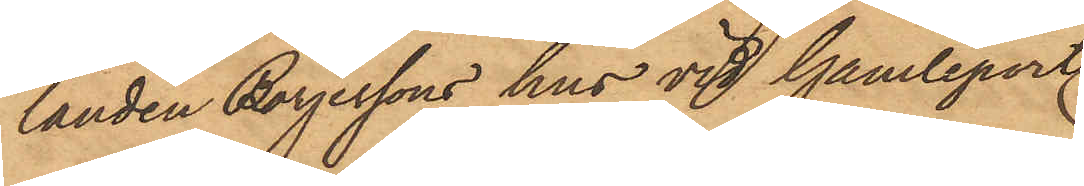landen Börjessons hus vid Gamleports
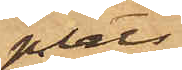plats
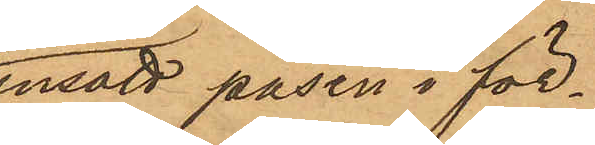insatt påsen i för¬
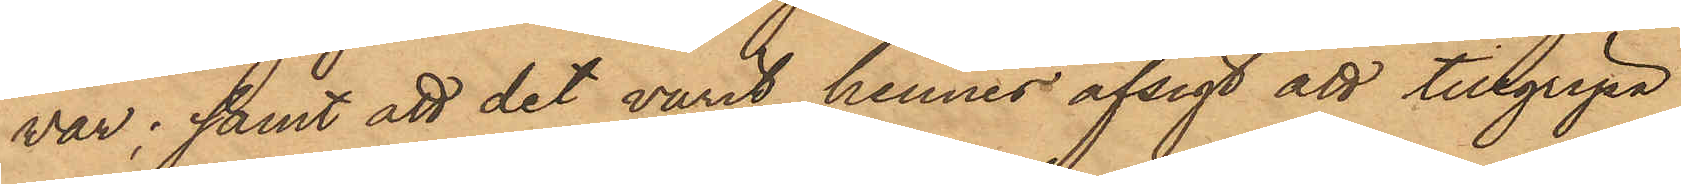var; samt att det varit hennes afsigt att tillgripa
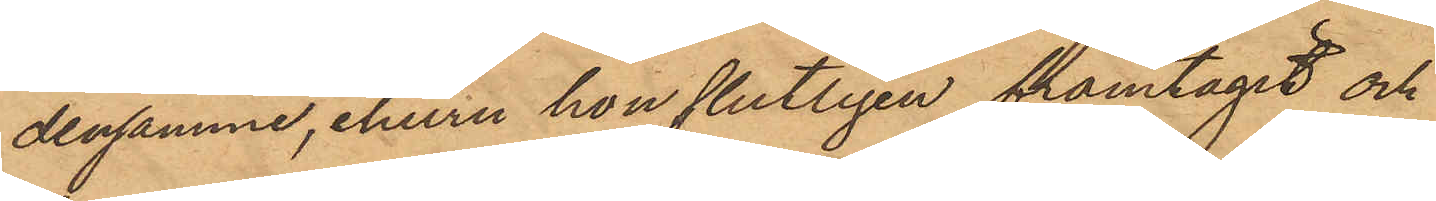densamme, ehuru hon slutligen framtagit och
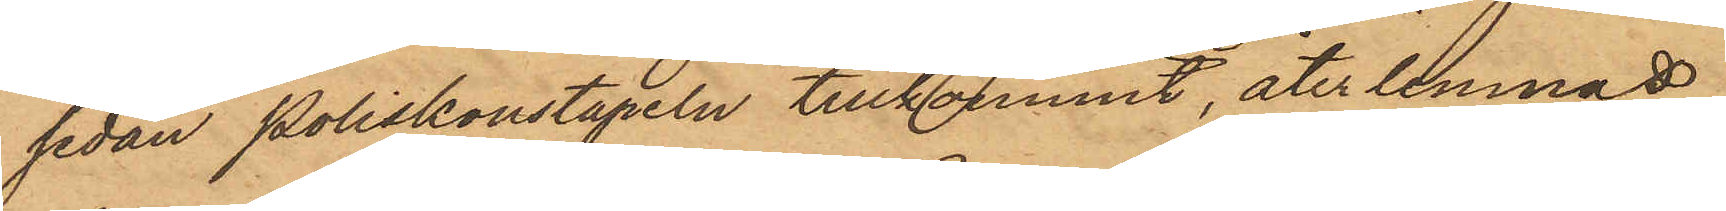sedan Poliskonstapeln tillkommit, återlemnat
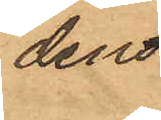den
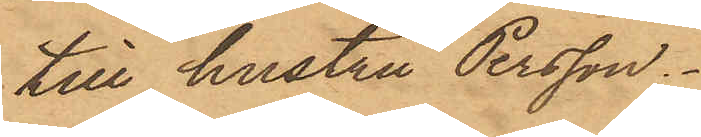till hustru Persson.
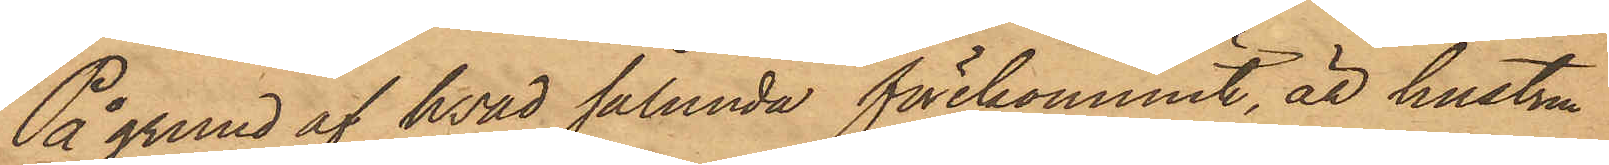På grund af hvad sålunda förekommit, är hustru
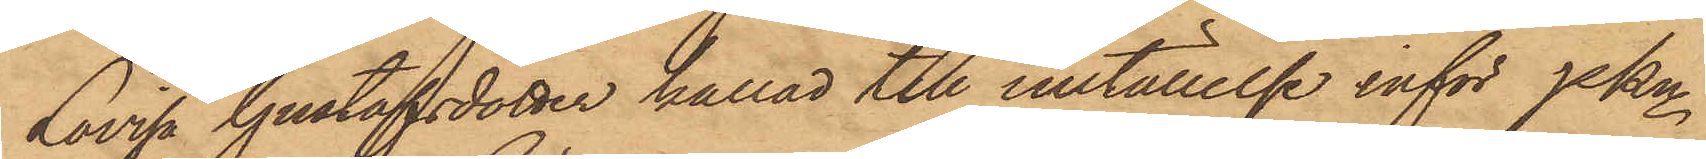Lovisa Gustafsdotter kallad till inställelse inför Pkn
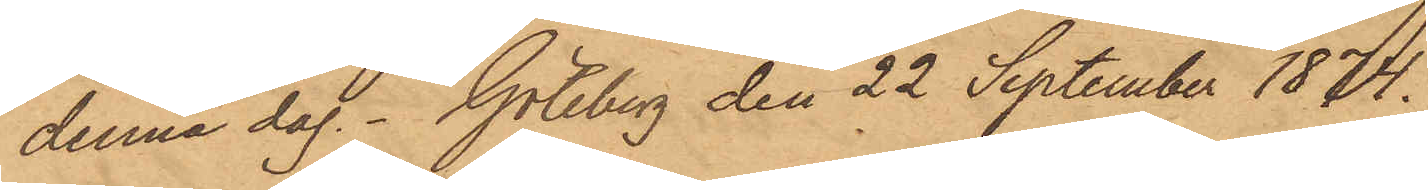denna dag. Göteborg den 22 September 1874.
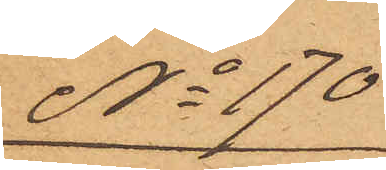No 170
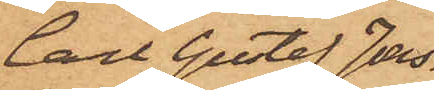Carl Gustaf Jons¬
